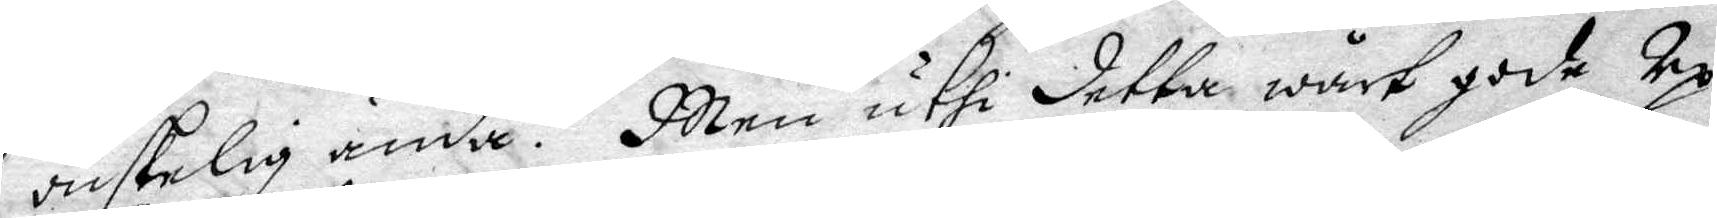önskelig ända. Men uthi detta wårt gode Up¬
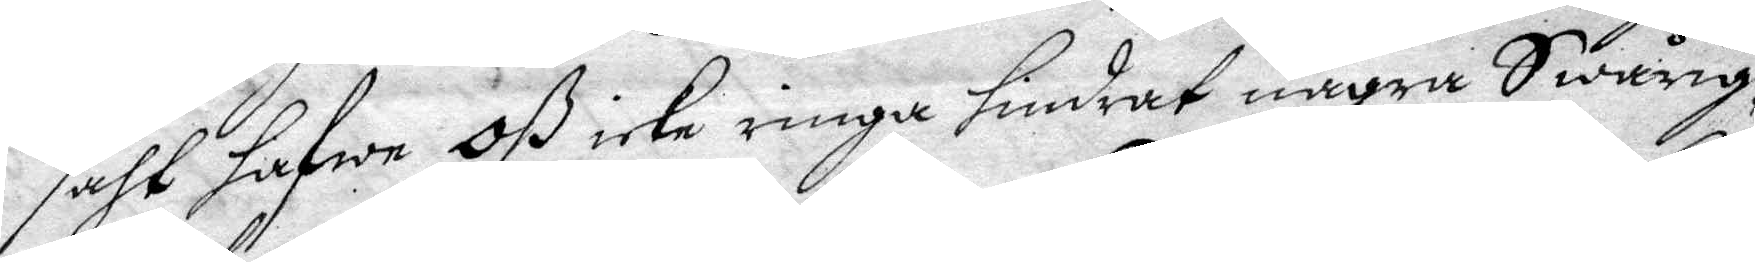såht hafwe Oß icke ringa hindrat några Swårig¬
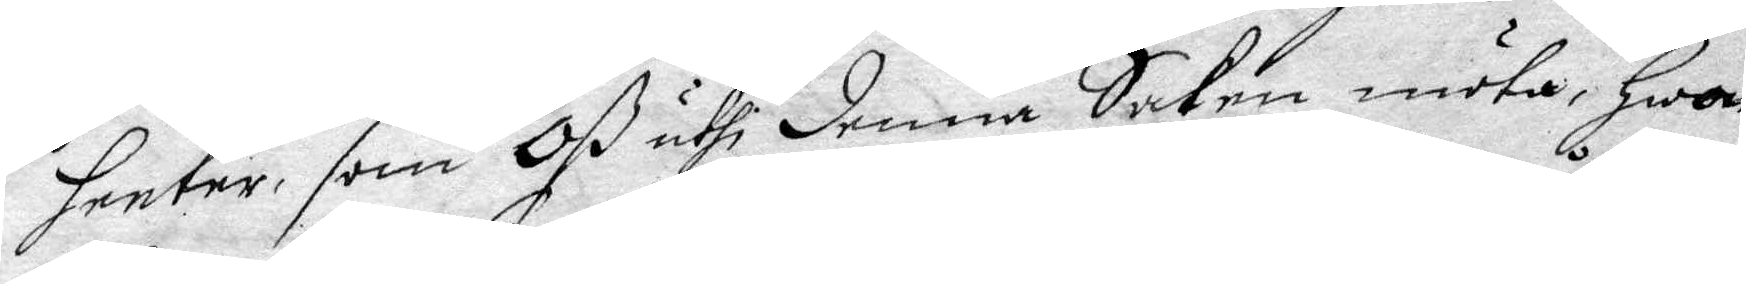heeter, som Oß uthi denna Saken möta, Hwar
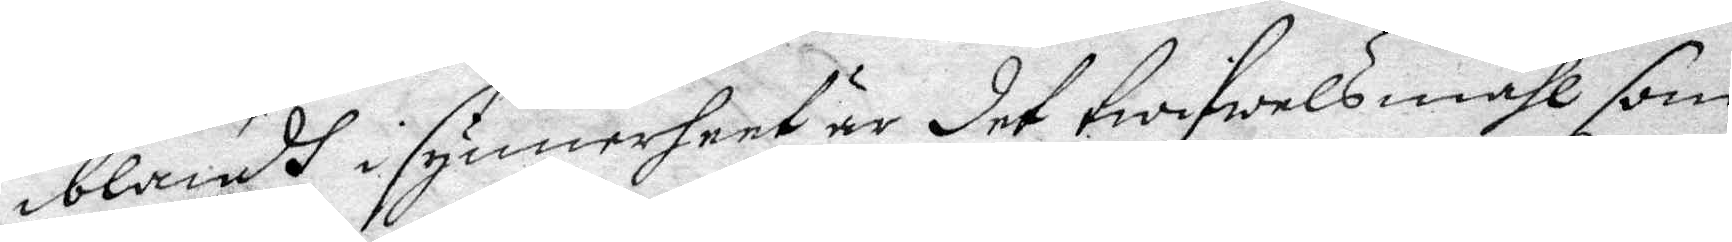iblandh i synnerheet är det twiwelsmåhl som
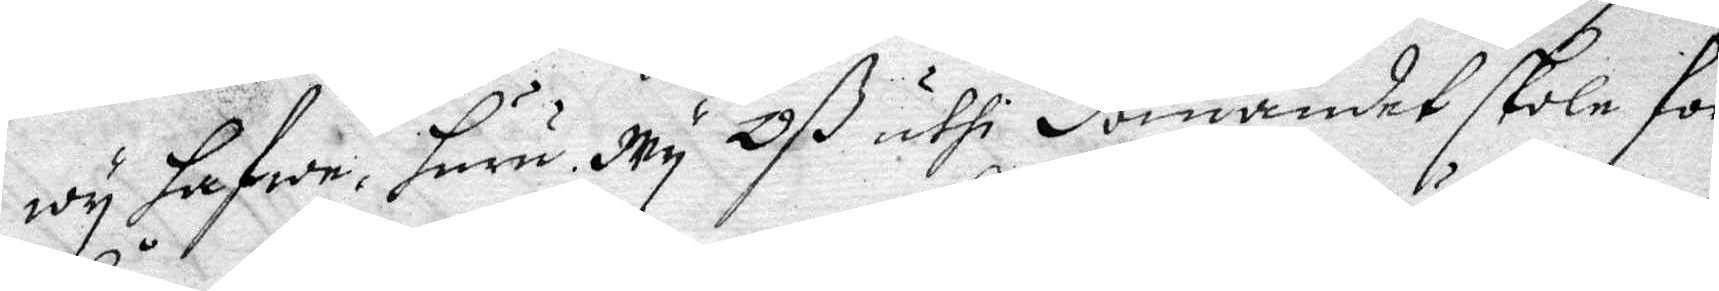wy hafwe, huru Wy Oß uthi dömandet skole för¬
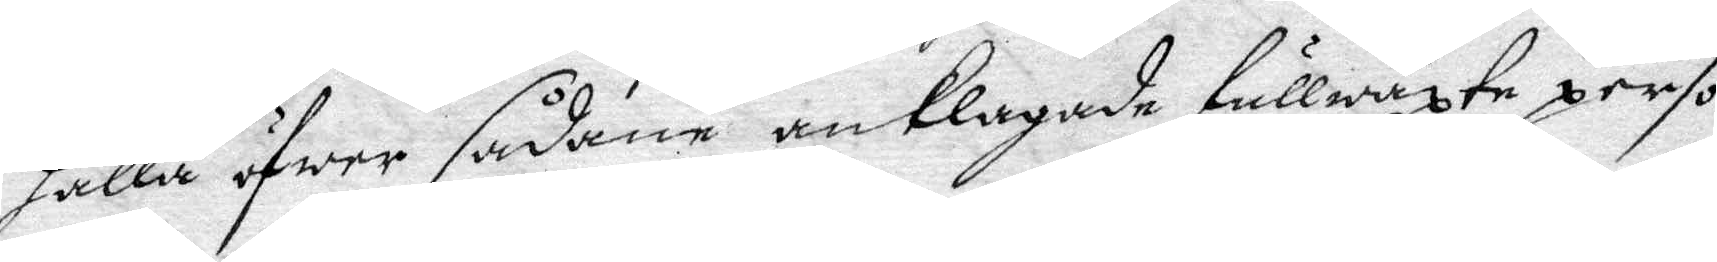hålla öfwer sådane anklagade fullwäxte perso¬
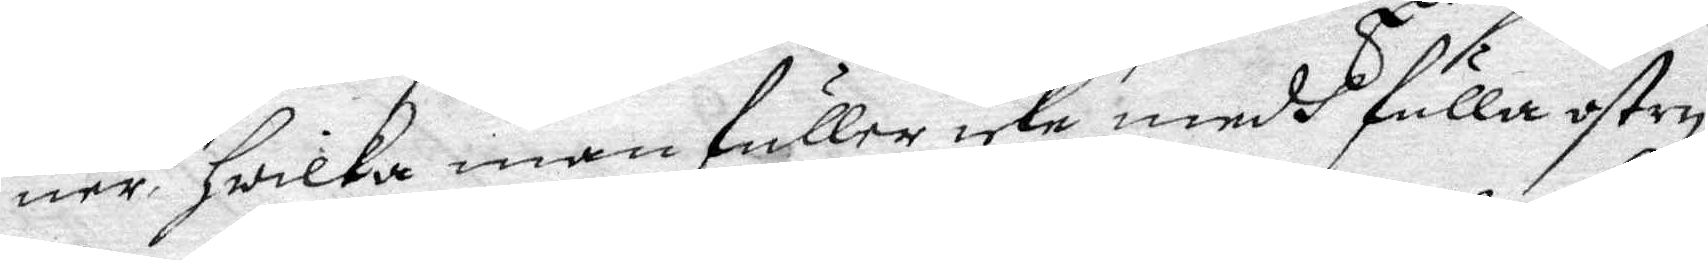ner, hwilka man fuller icke medh fulla ostry¬
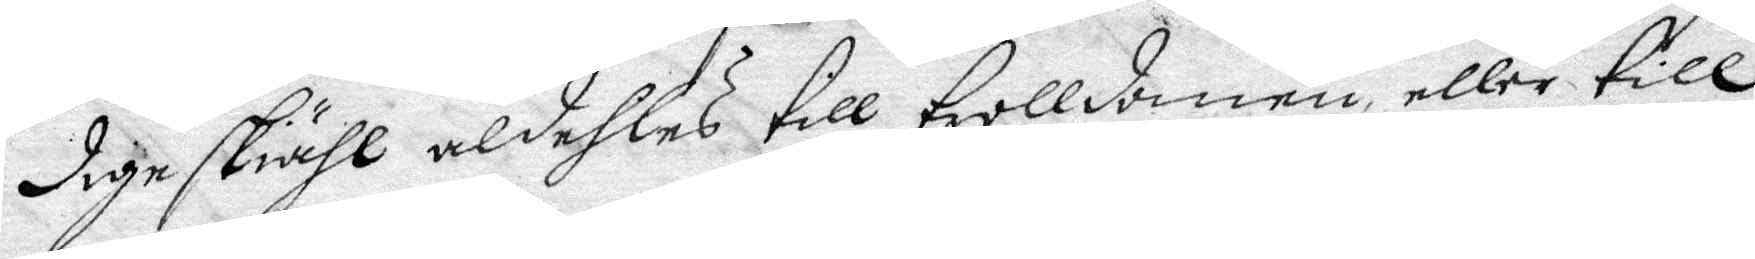dige skiähl aldehles till trolldomen eller till
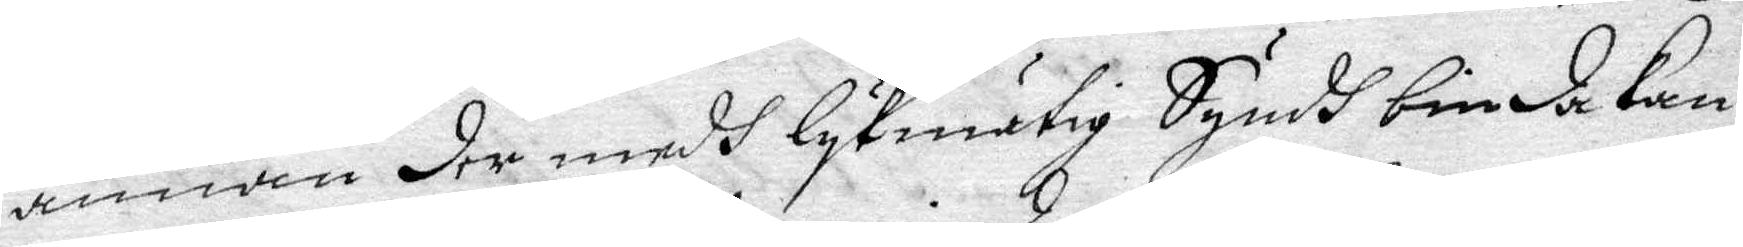annan der medh lykmätig Syndh binda Kan,
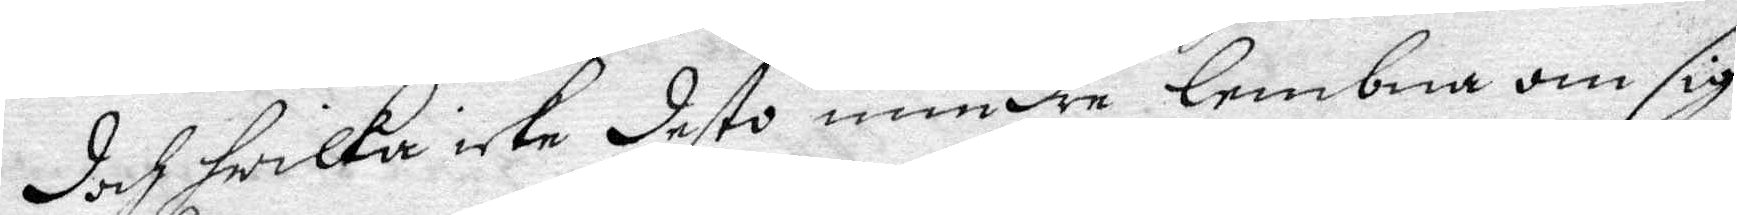doch hwilka icke desto mindre lembna om sig
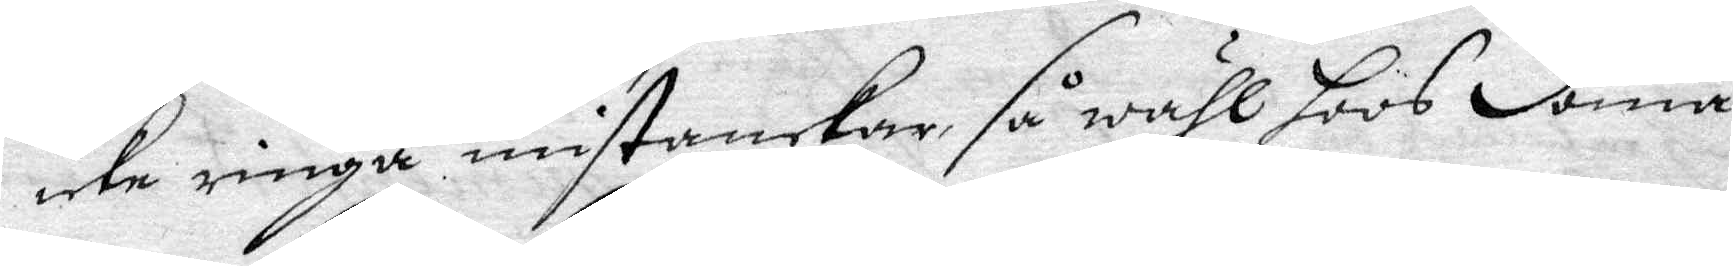icke ringa misstankar, så wähl hoos doma¬
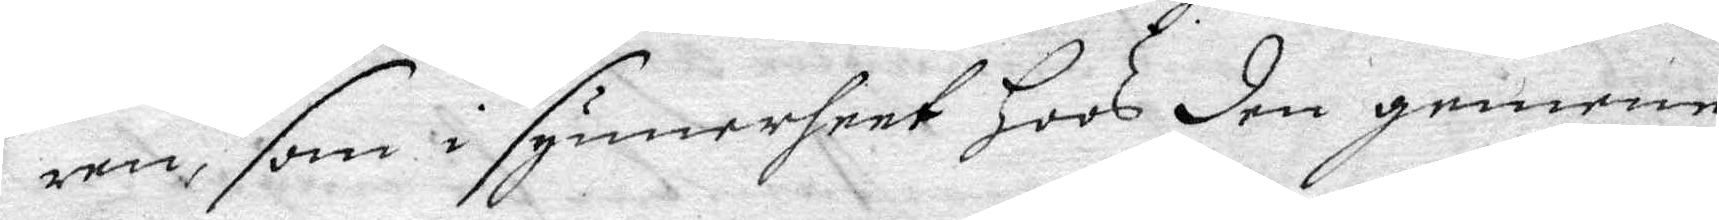ren, som i synnerheet hoos den gemene
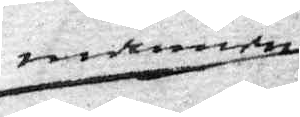mannen
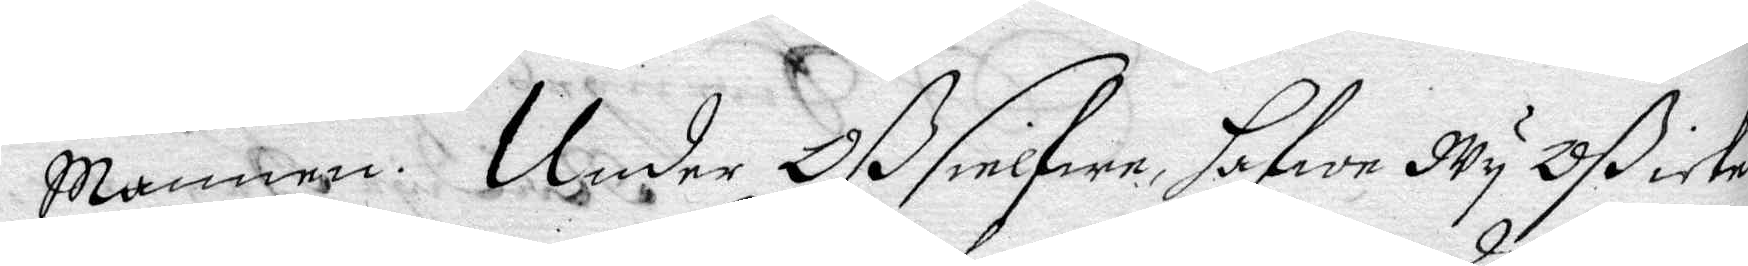Mannen. Under Oß sielfwa, hafwe Wy Oß icke
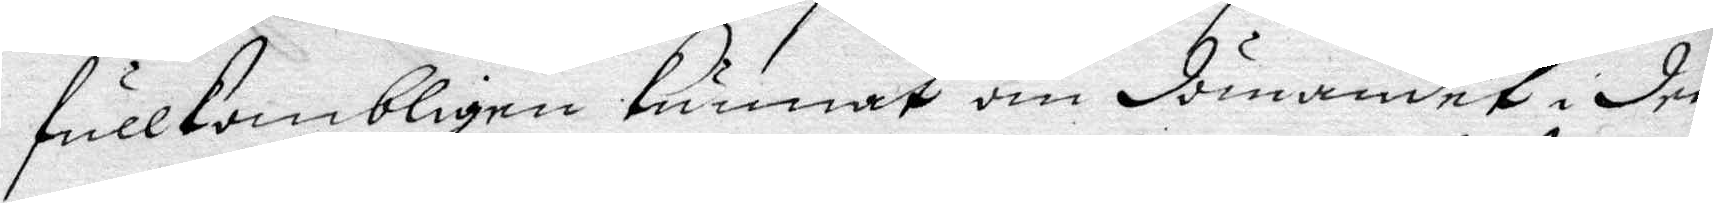fullkombligen Kunnat om dömandet i den¬
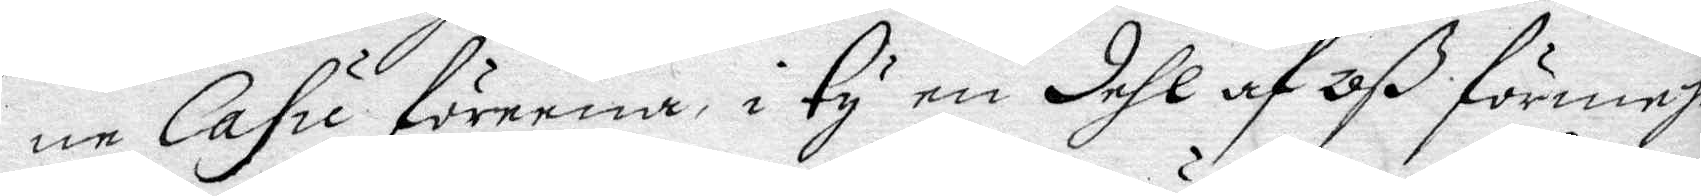ne Cadu föreena, i Ty dehl af Oß förmehr
